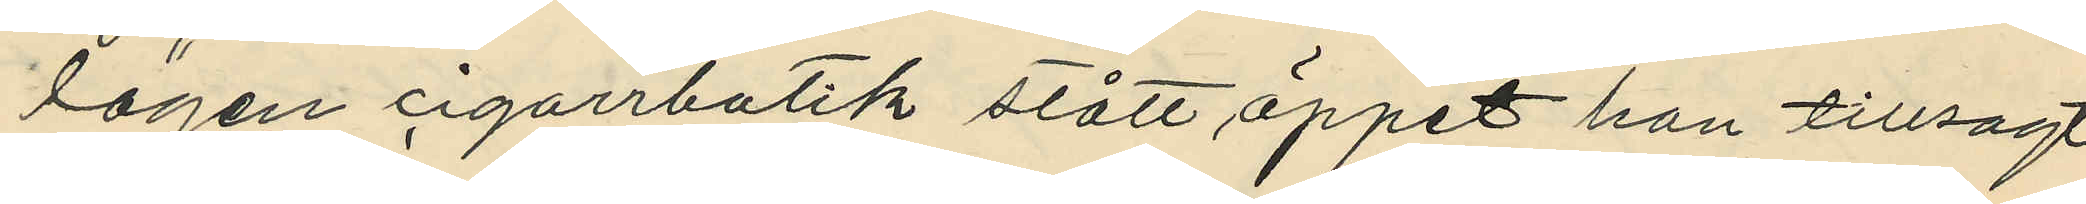lägen cigarrbutik stått öppet han tillsagt
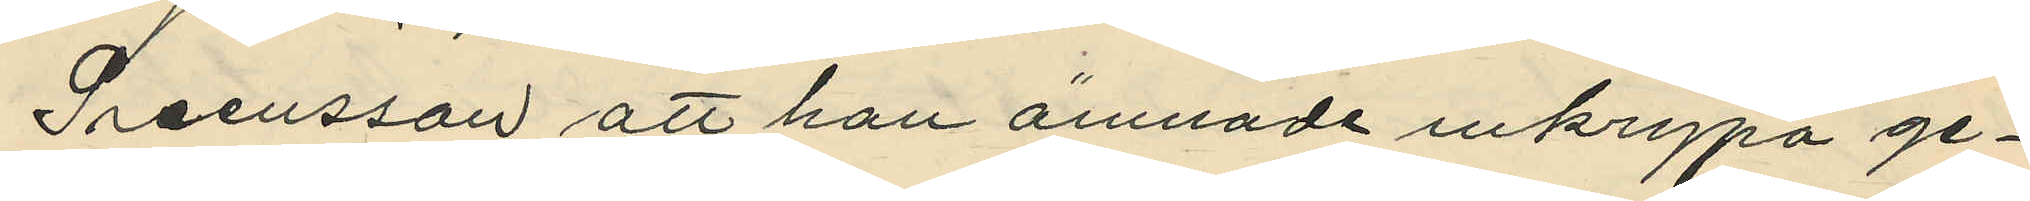Svensson att han ämnade inkrypa ge¬
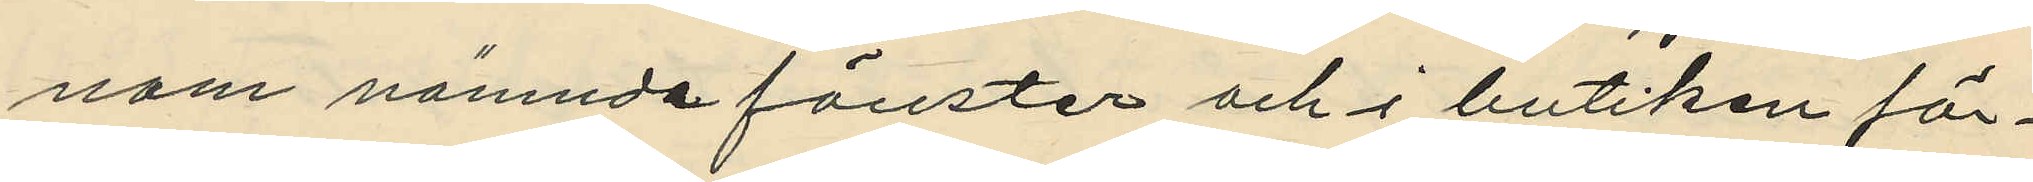nom nämnda fönster och i butiken för¬
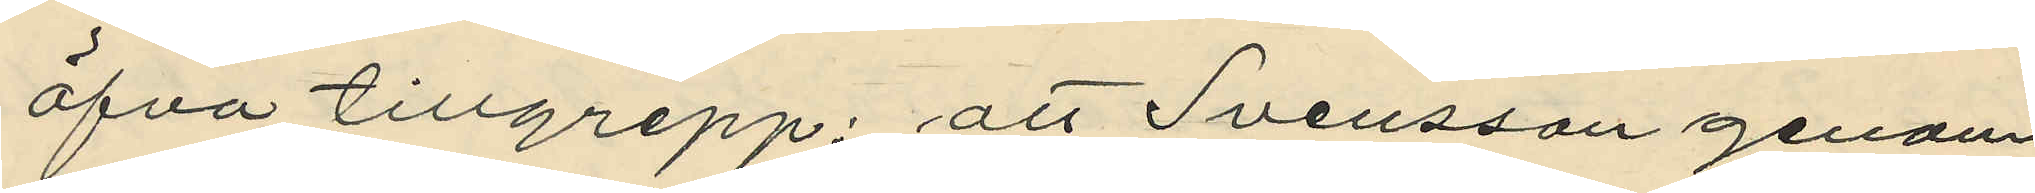öfva tillgrepp; att Svensson genom
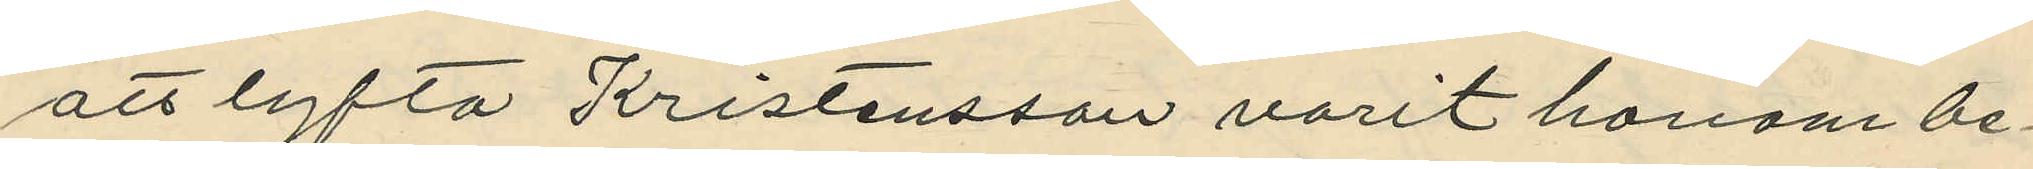att lyfta Kristensson varit honom be¬
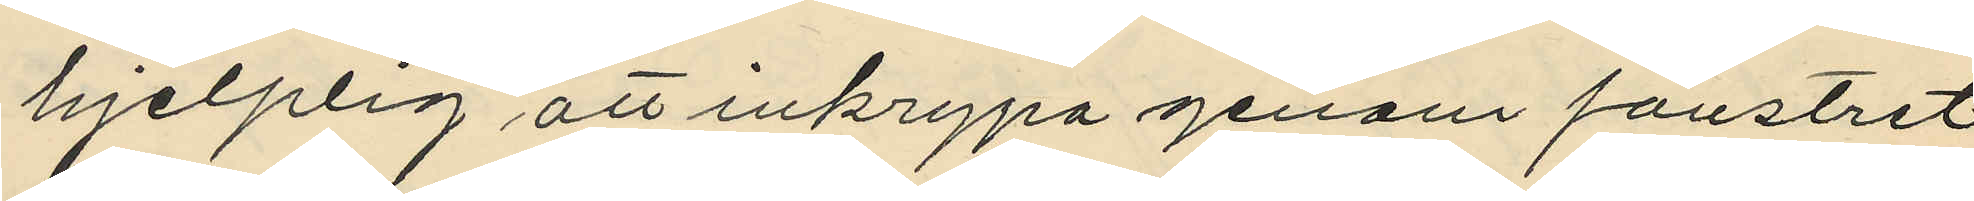hjelplig att inkrypa genom fönstret
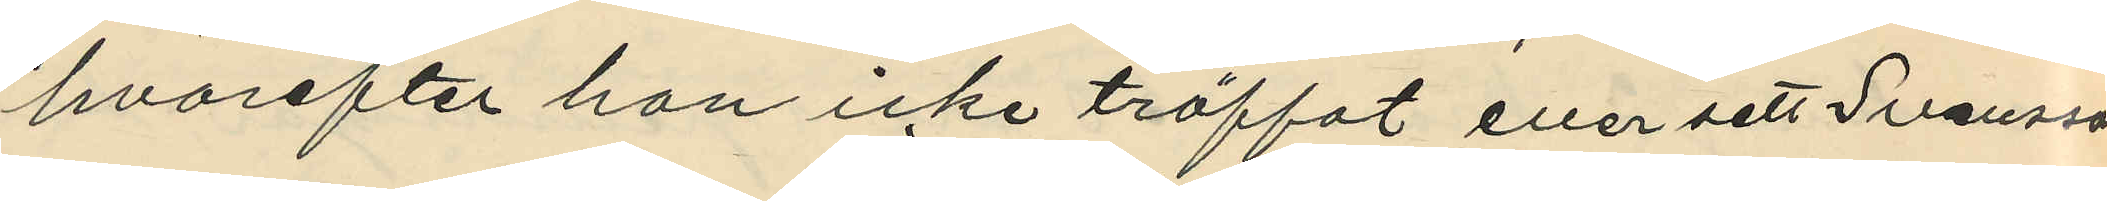hvarefter han icke träffat eller sett Svensson
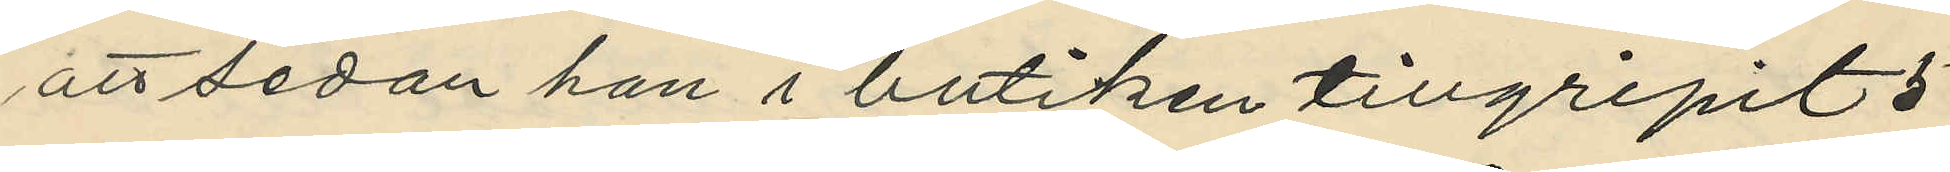att sedan han i butiken tillgripit 5
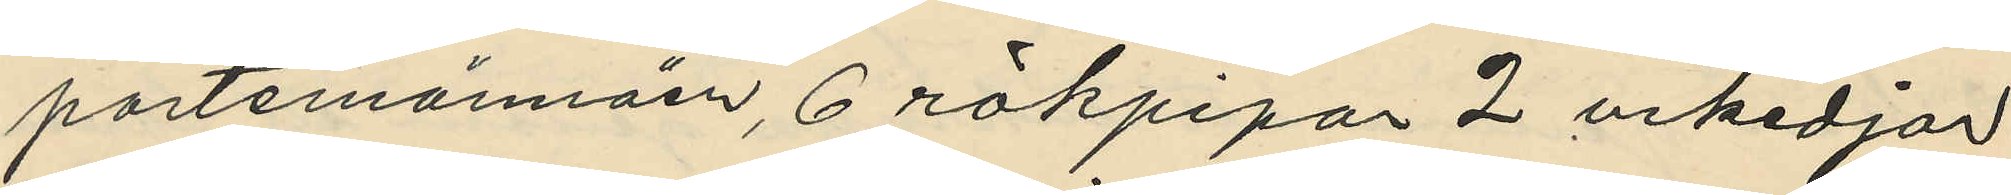portemännäer, 6 rökpipor 2 urkedjor
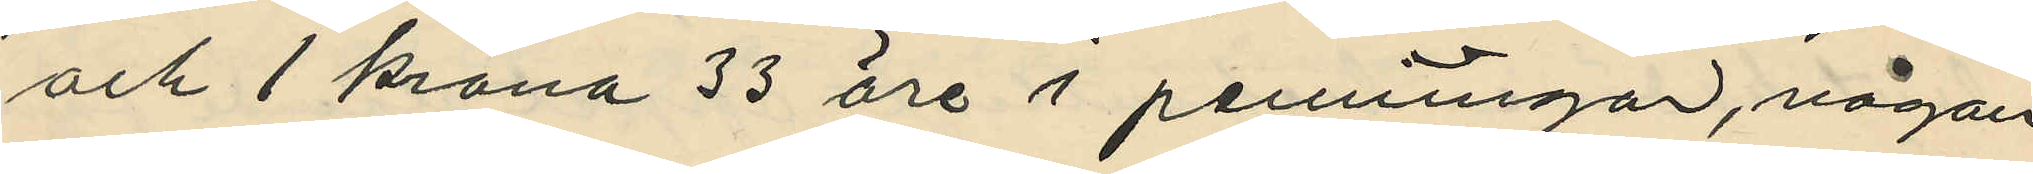och 1 krona 33 öre i penningar, någon
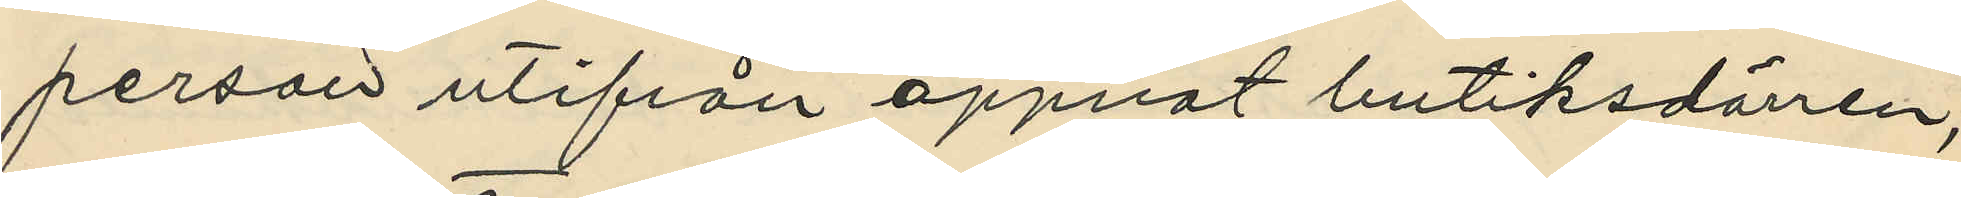person utifrån öppnat butiksdörren,
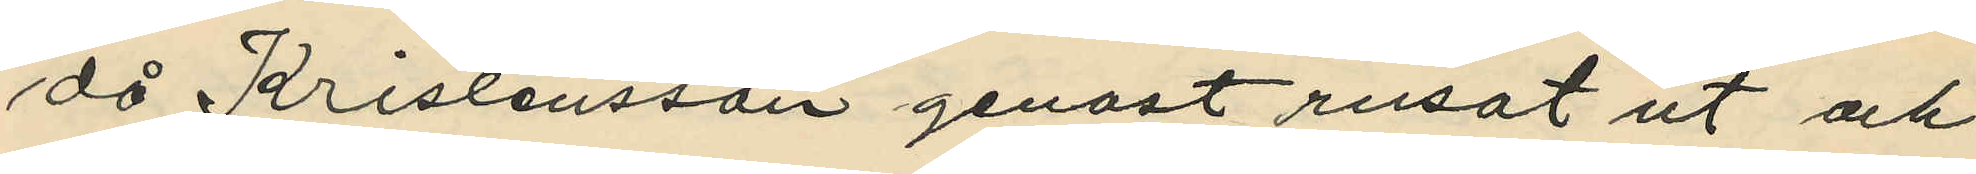då Kristensson genast rusat ut och
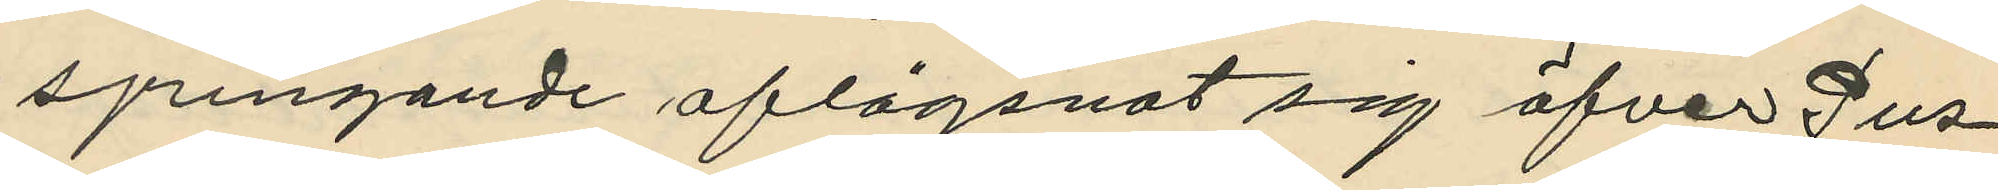springande aflägsnat sig öfver Pus¬
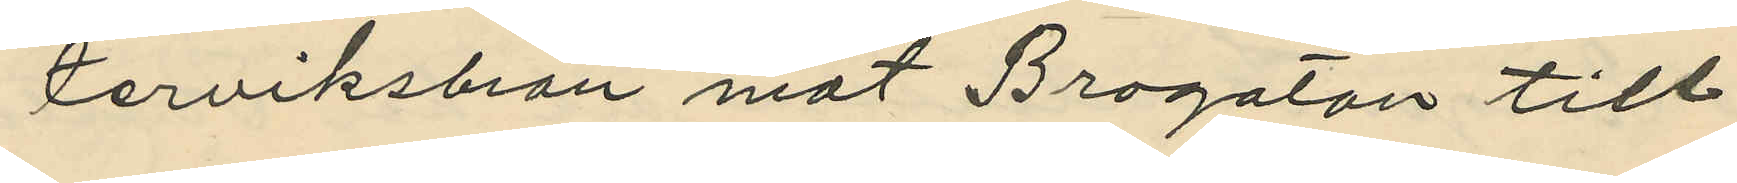terviksbron mot Brogatan till
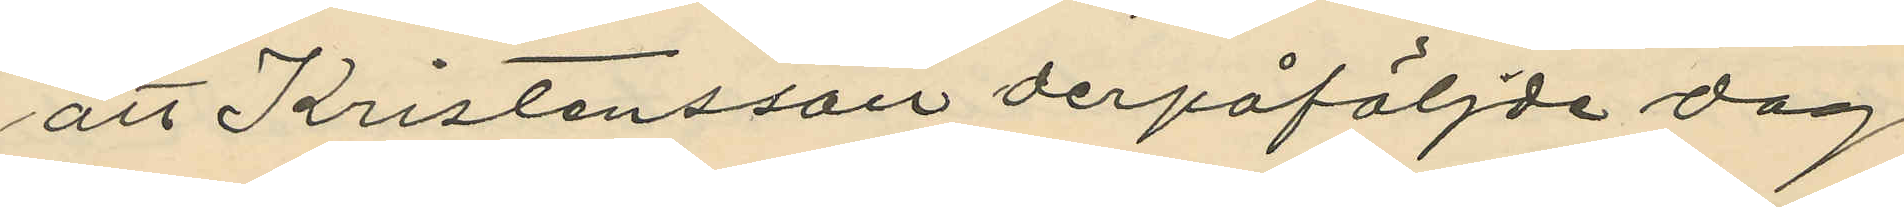att Kristensson derpåföljde dag
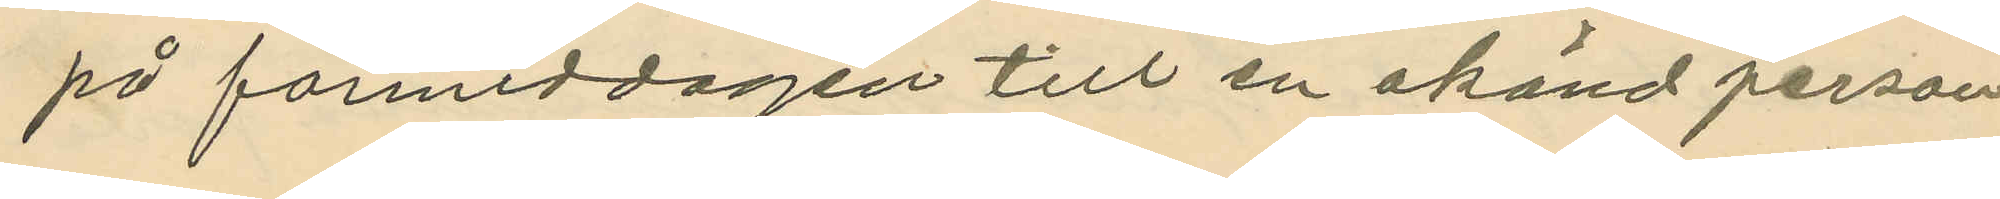på förmiddagen till en okänd person
